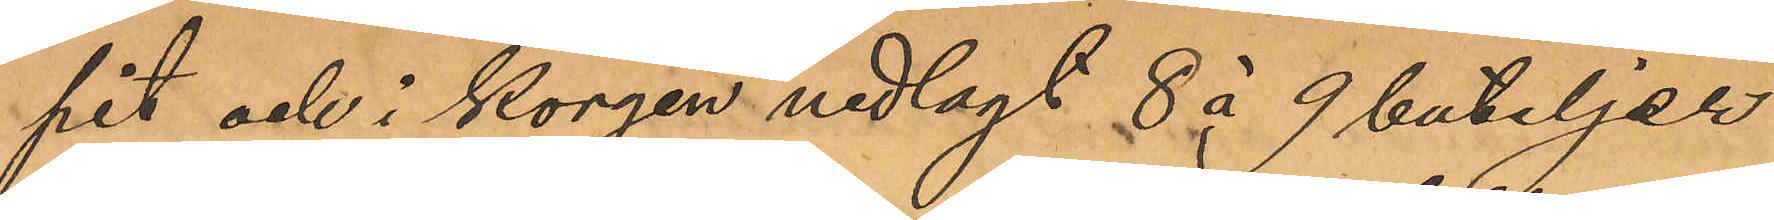pit och i korgen nedlagt 8 á 9 buteljer
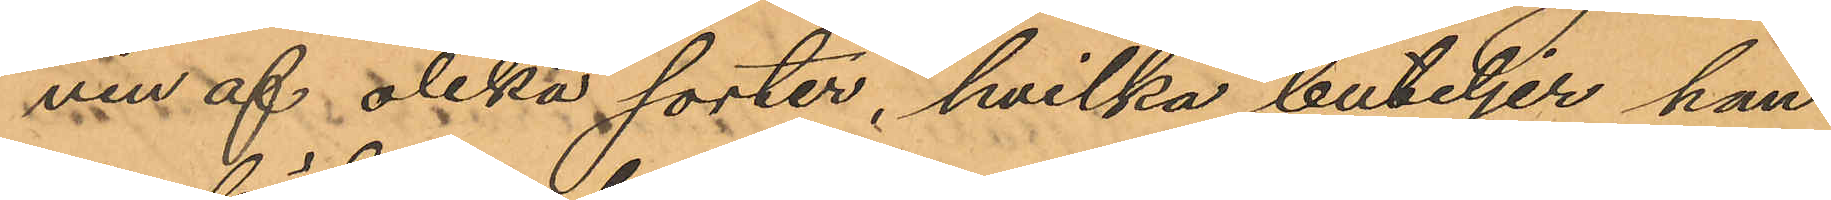vin af olika sorter, hvilka buteljer han
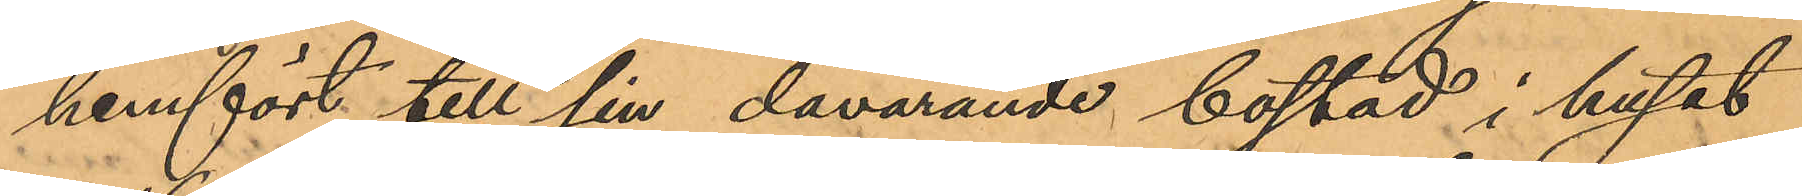hemfört till sin dåvarande bostad i huset
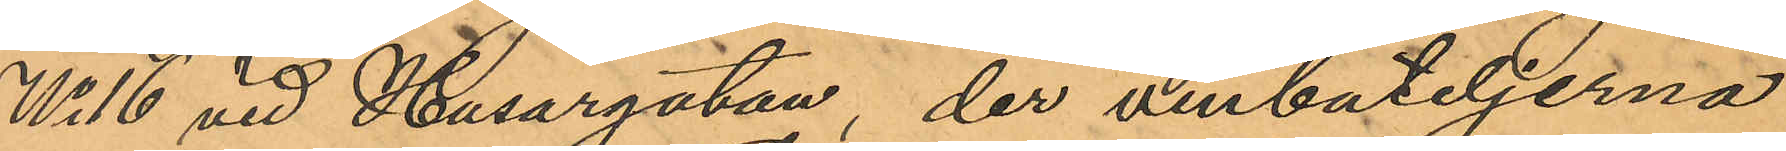No 16 vid Husargatan, der vinbuteljerna
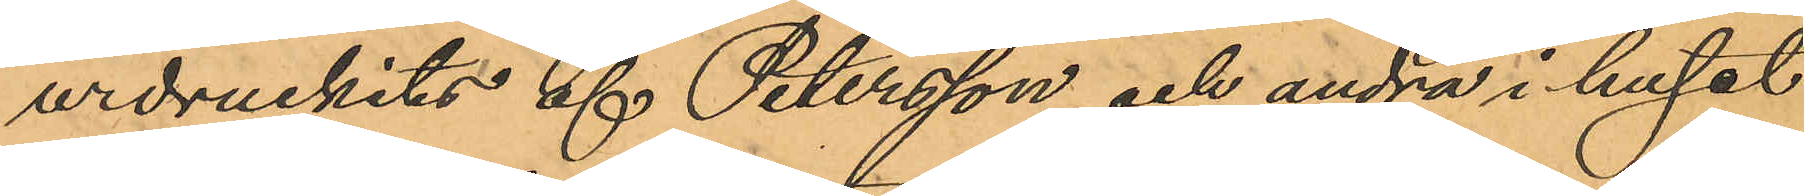urdruckits af Petersson och andra i huset
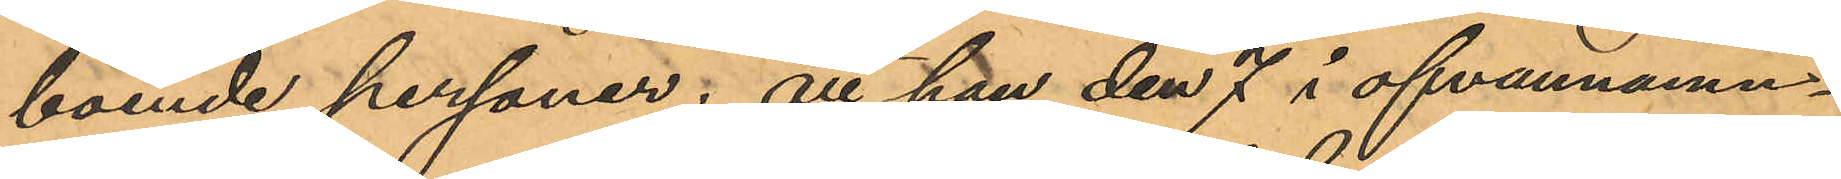boende personer; att han den 7 i ofvannämn¬
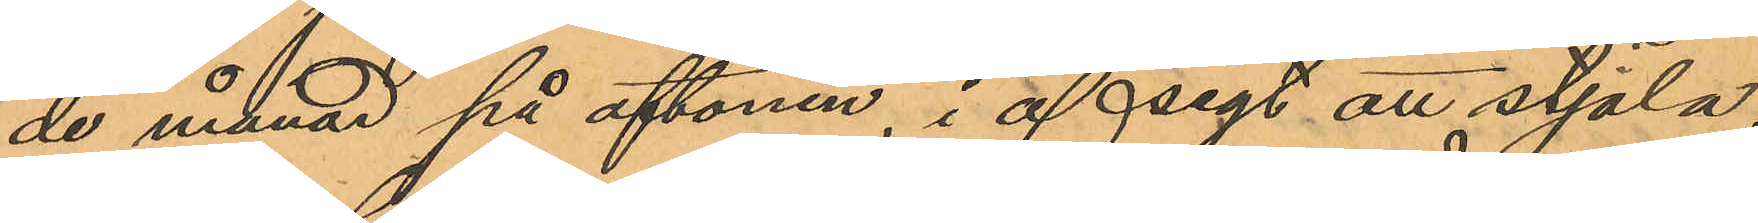de månad på aftonen, i afsigt att stjäla,
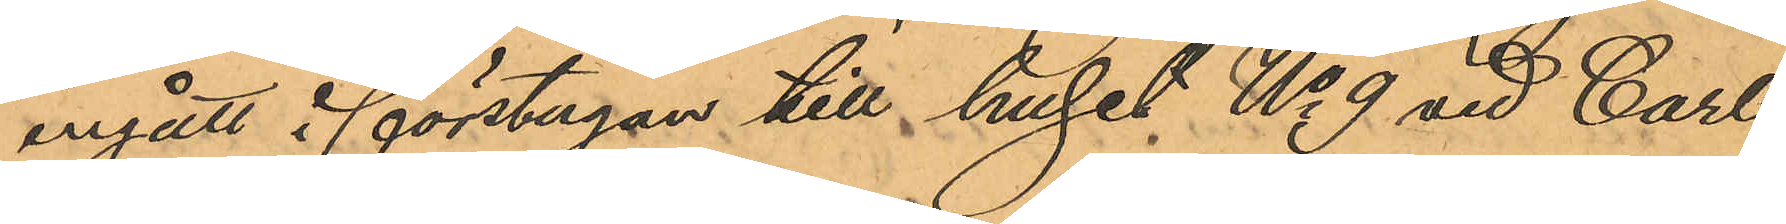ingått i förstugan till huset No 9 vid Carl
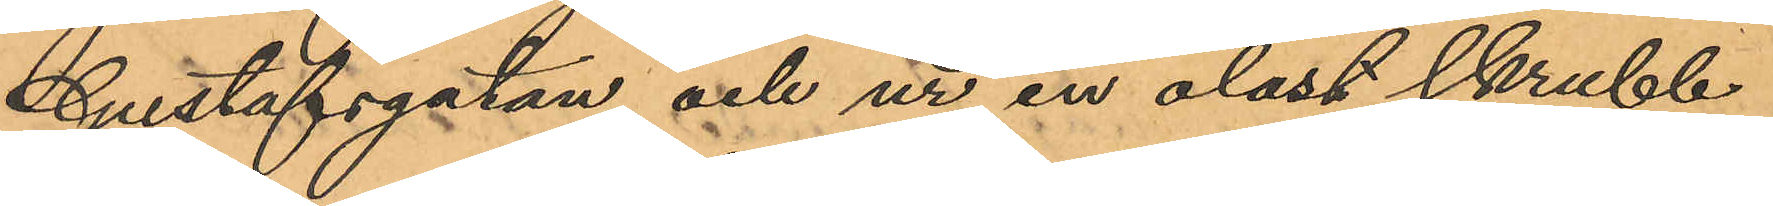Gustafsgatan och ur en olåst skrubb
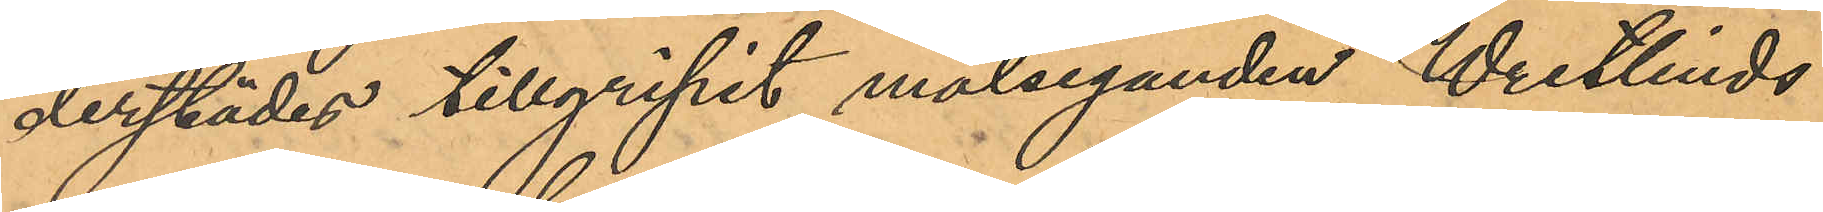derstädes tillgripit målseganden Wretlinds
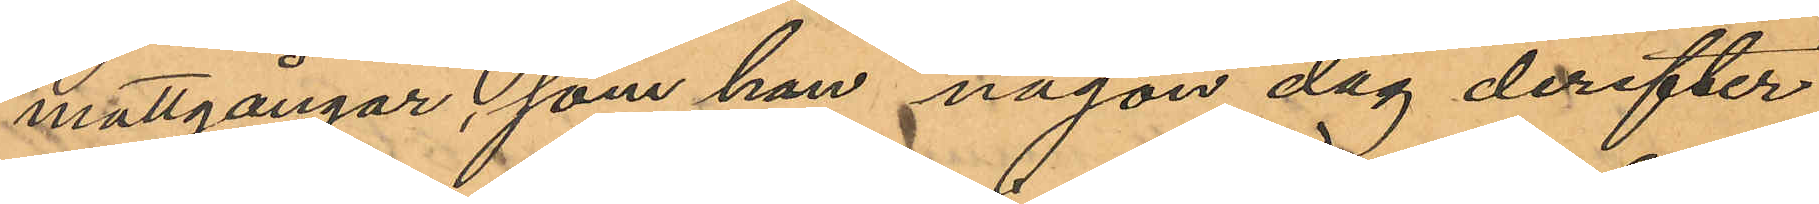mattgångar, som han någon dag derefter
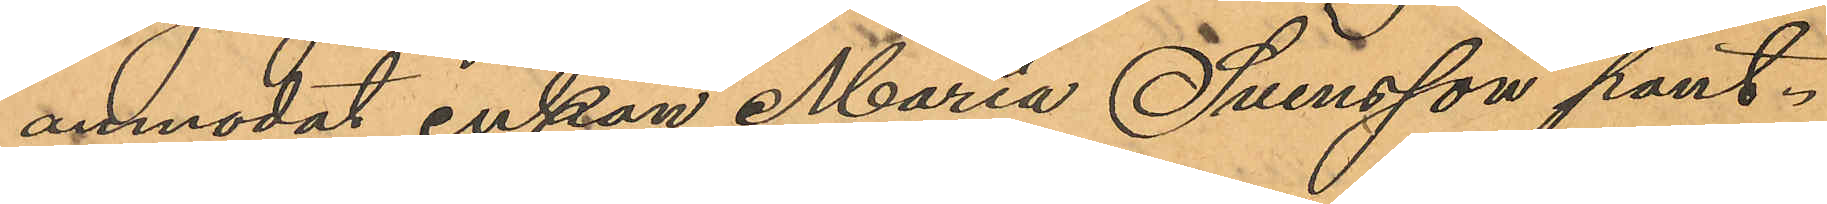anmodat enkan Maria Svensson pant¬
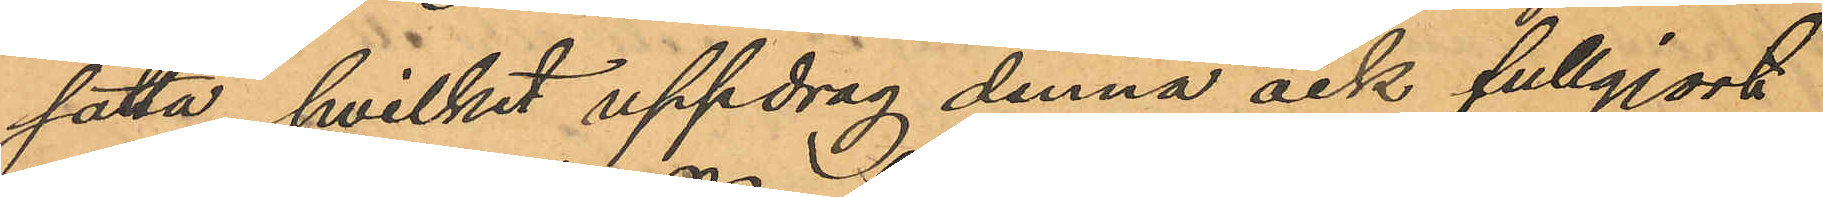sätta, hvilket uppdrag denna ock fullgjort
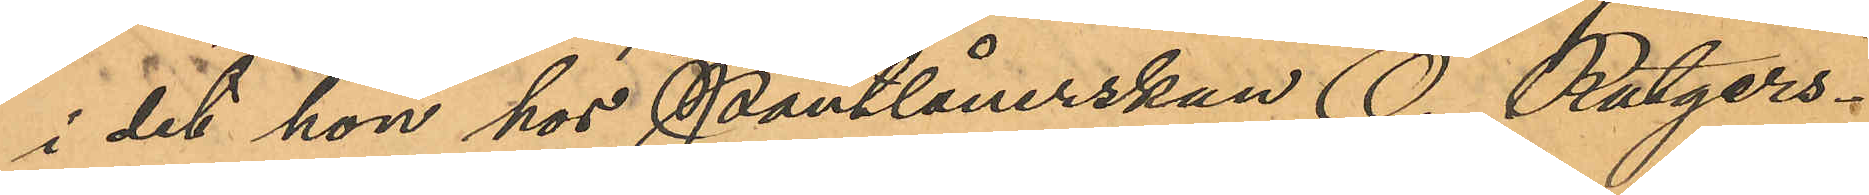i det hon hos Pantlånerskan O. Rutgers¬
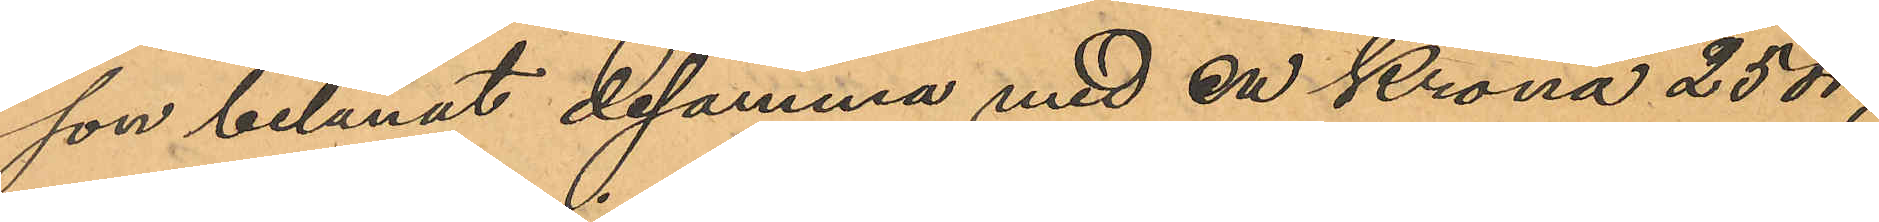son belånat desamma med en Krona 25 öre;
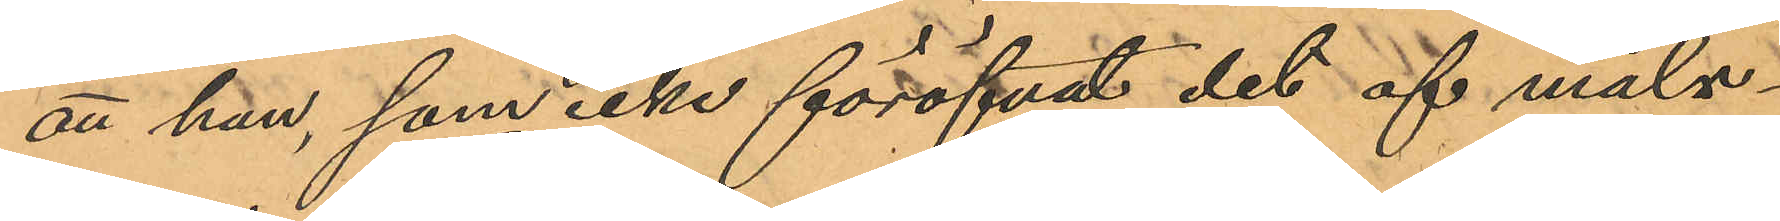att han, som icke föröfvat det af måls¬
